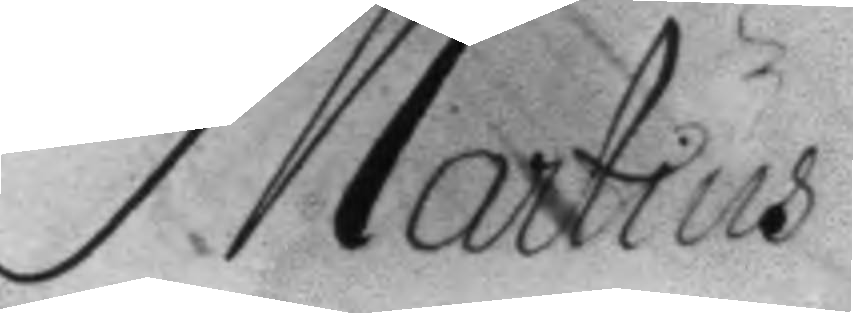Martius
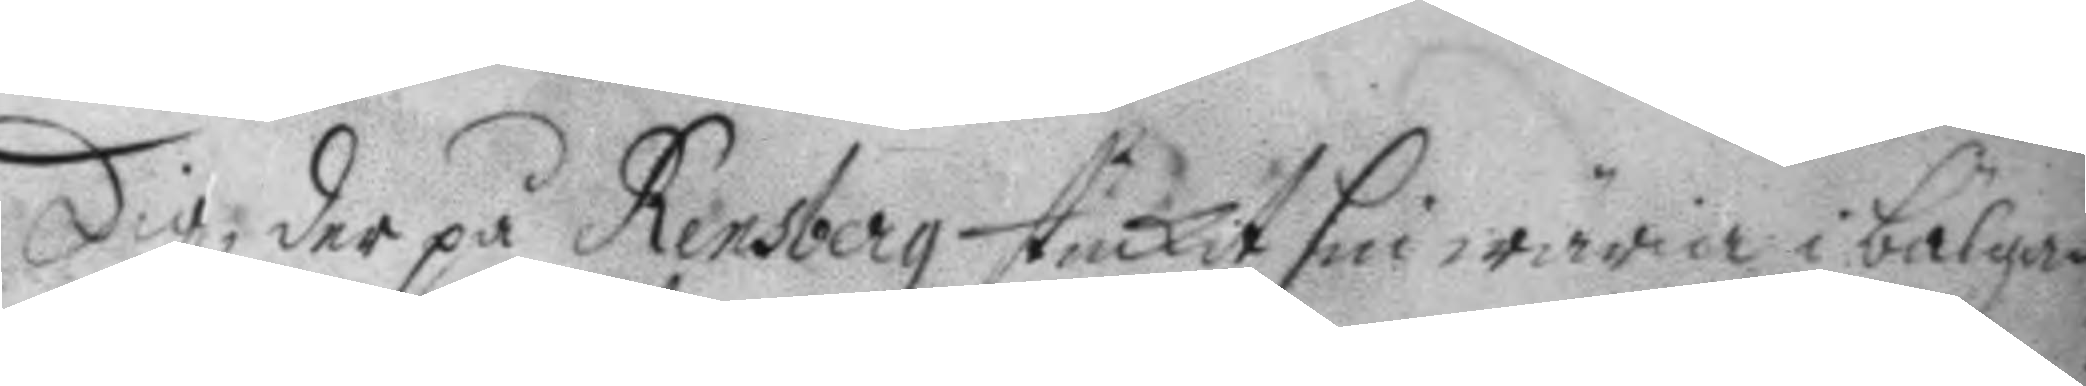dig, der på Rensberg stuckit sin wäria i bälgan
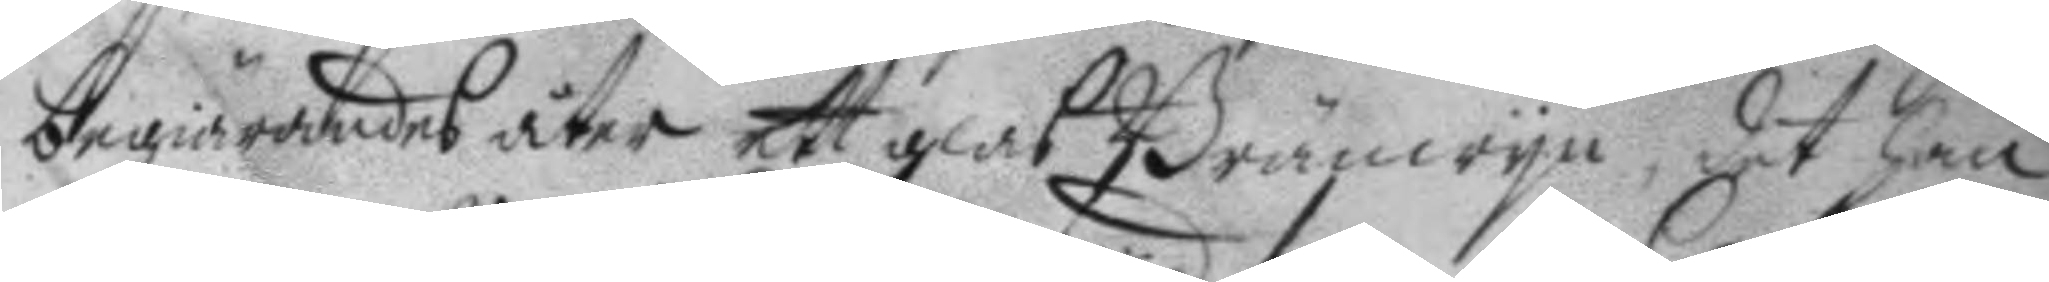begiärandes åter ett glas Bränwyn, det han
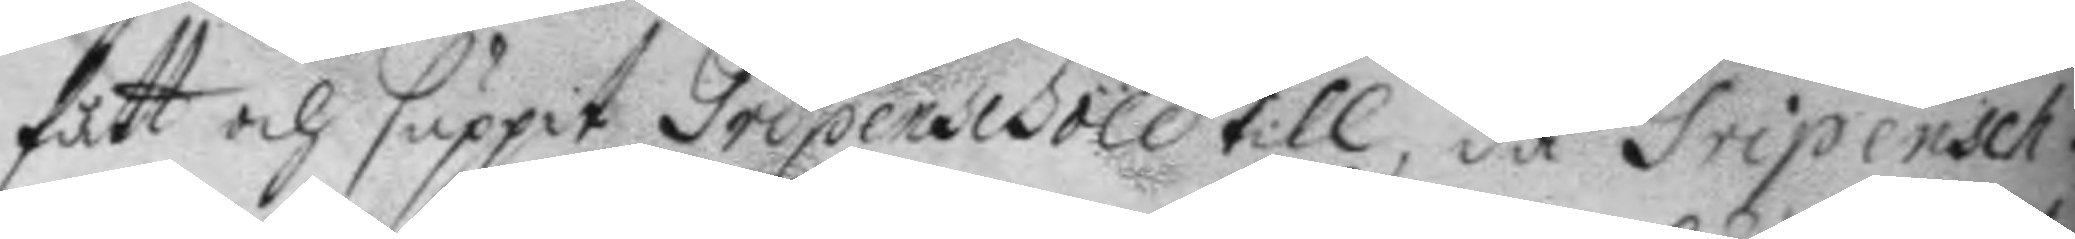fått och suppit Gripenschöld till, då Gripensch.
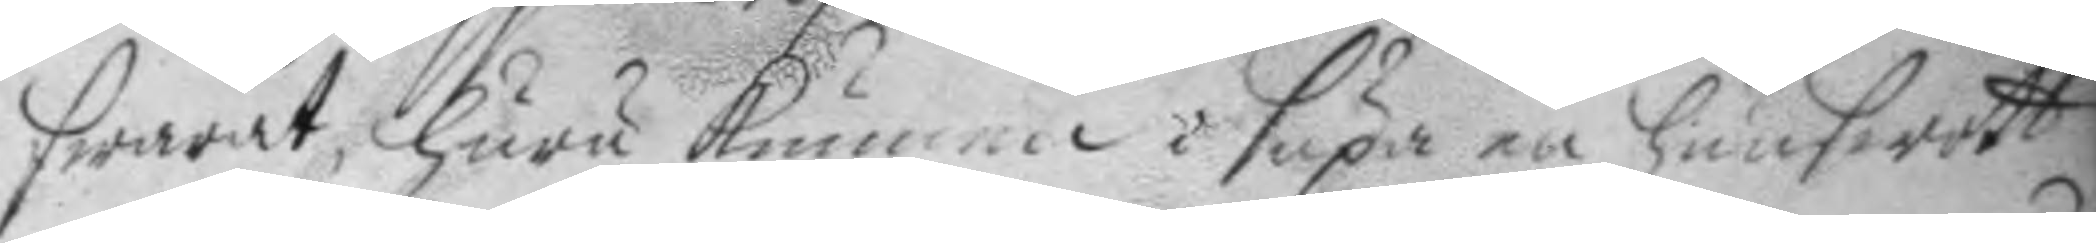swarat, huru kunna i supa en hunswott
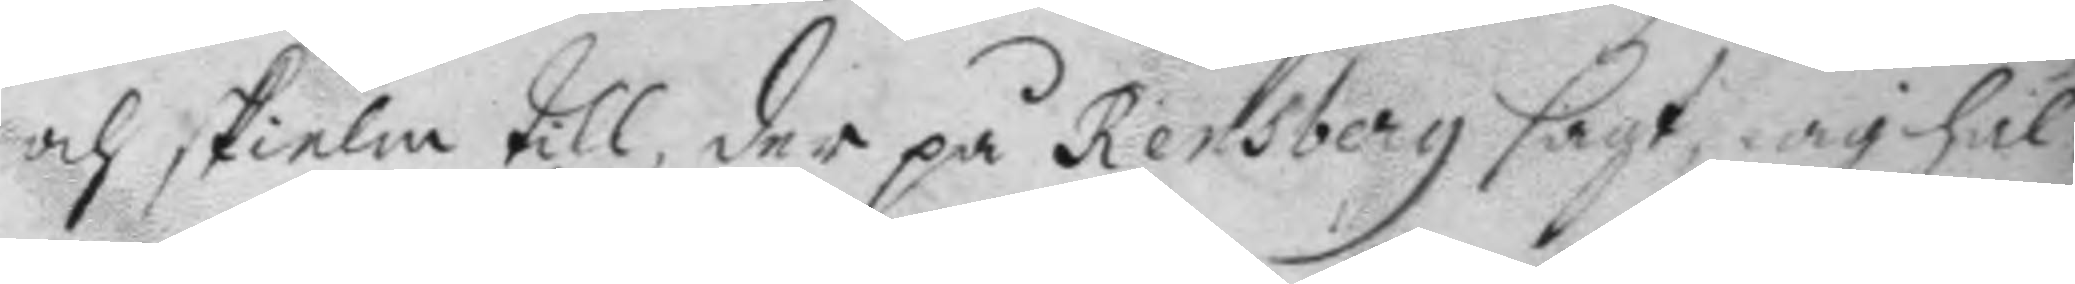och skielm till, der på Rensberg sagt, iag hål¬
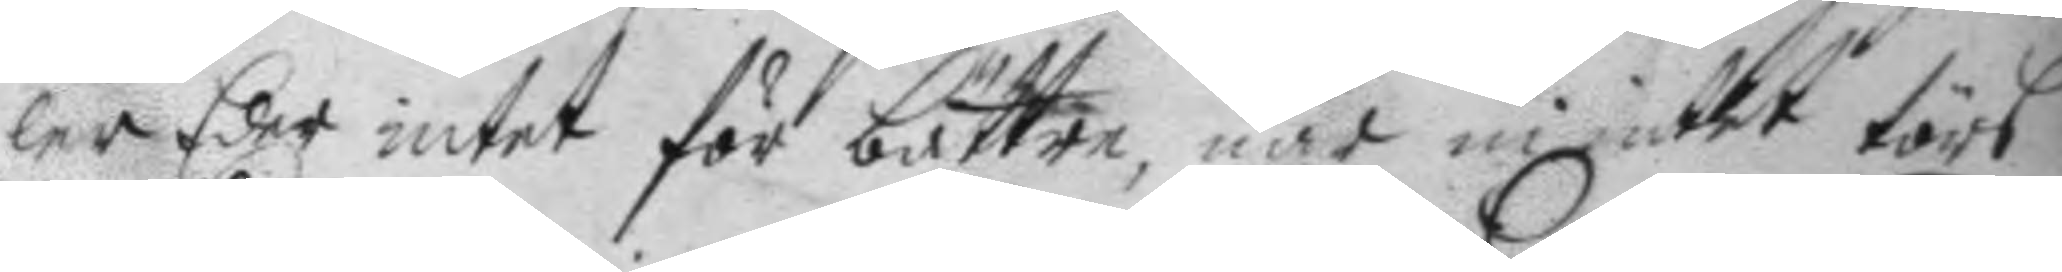ler Eder intet för bättre, när ni intet törs
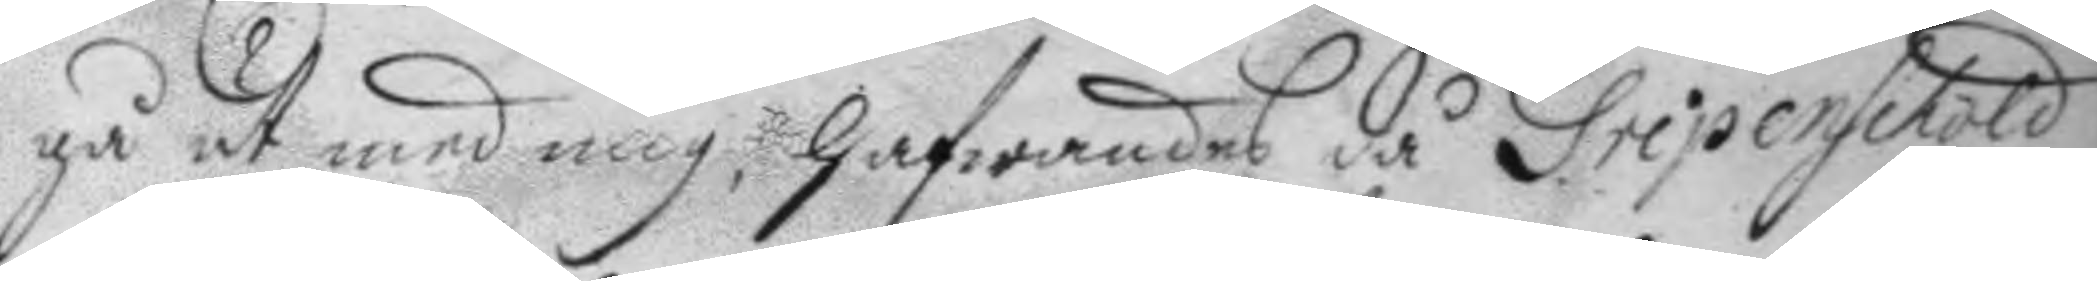gå ut med mig, hafwandes då Gripenschöld
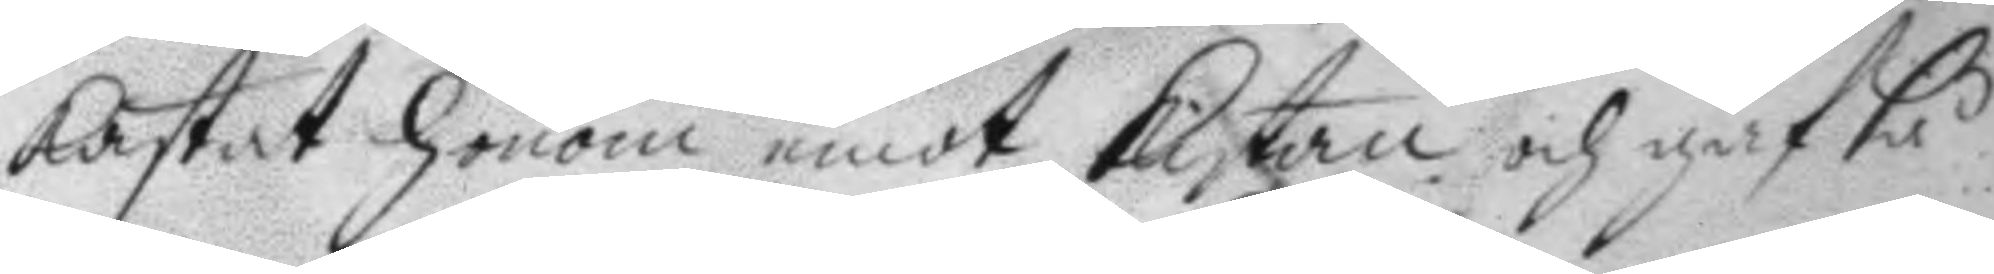kastat honom emot kistan och gaf så
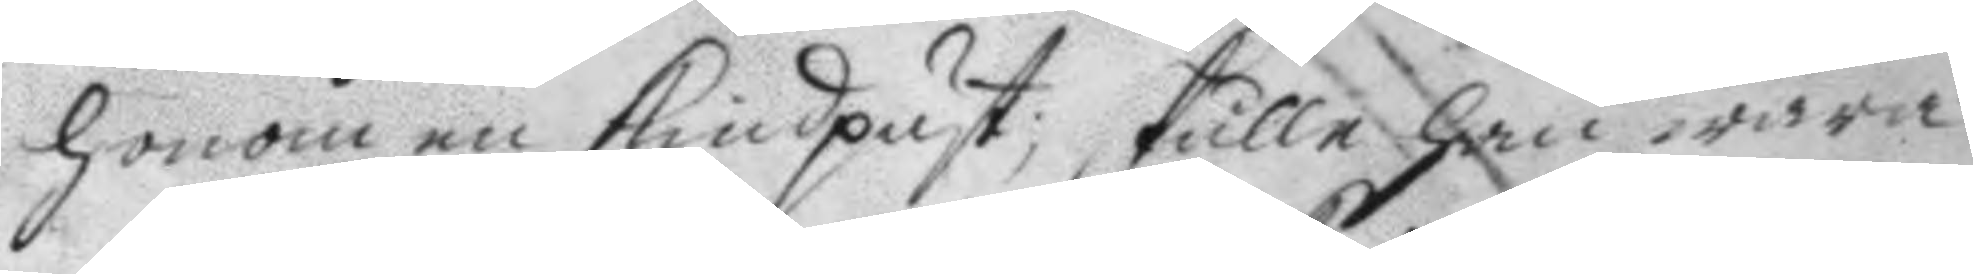honom en kindpust, skulle han wara
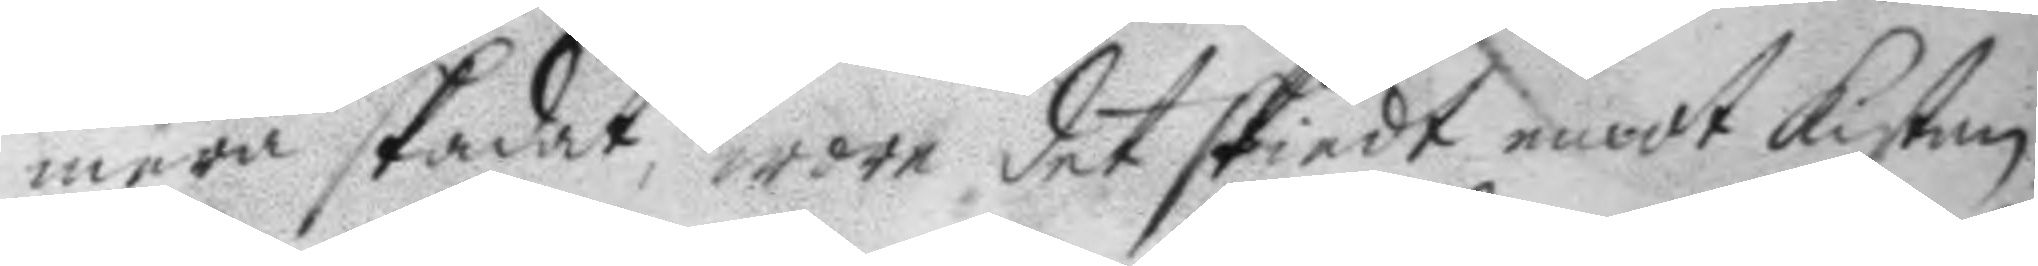mera skadat, wore det skiedt emot kistan
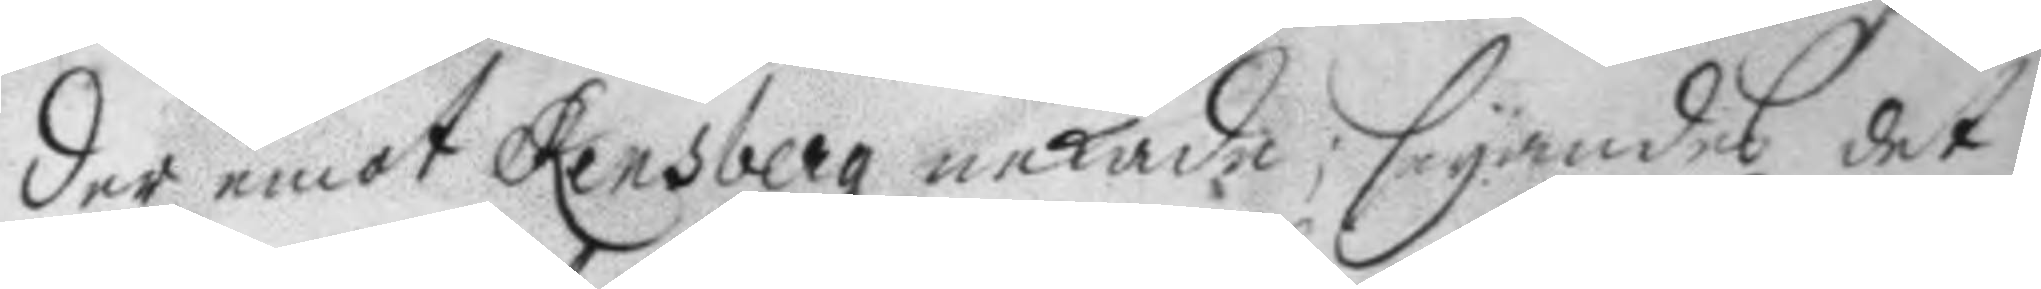der emot Rensberg nekade; seyandes det
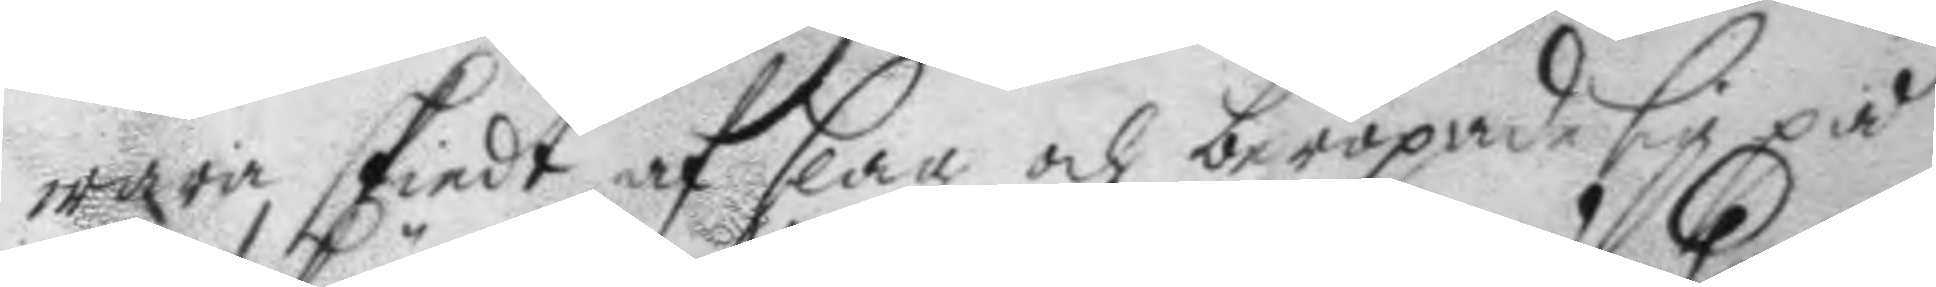wara skiedt af slag och beropade sig på
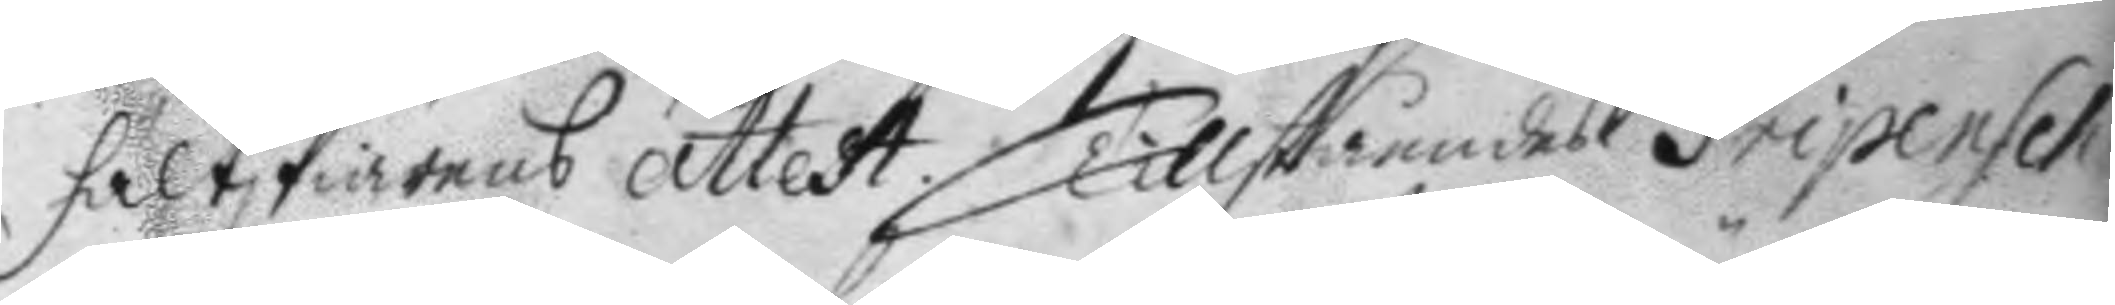fältskiärens Attest. Tillståendes Gripensch.
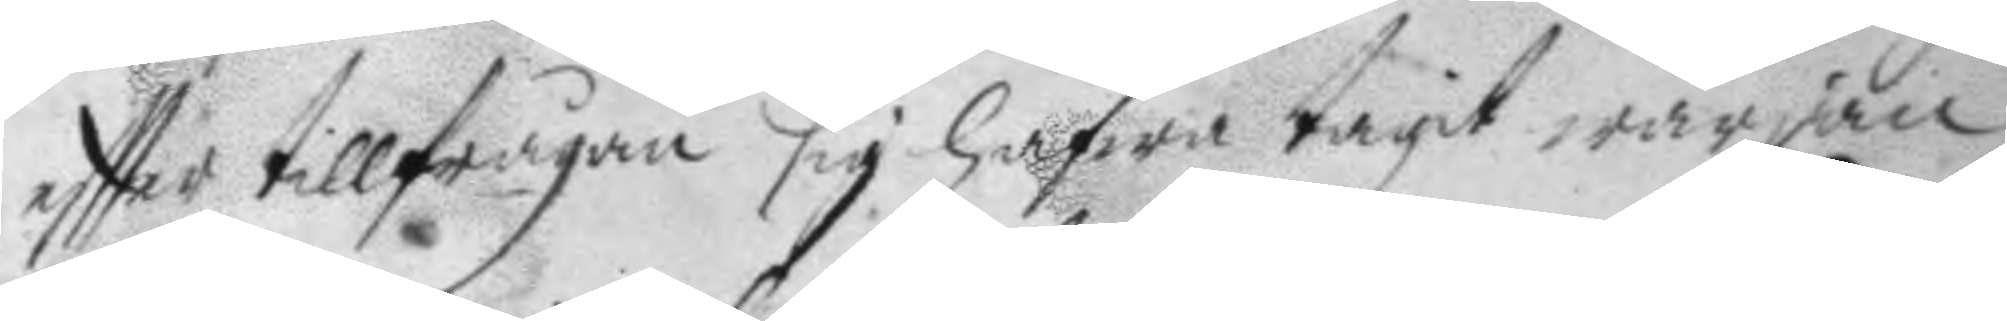eftter tillfrågan sig hafwa tagit wärjan
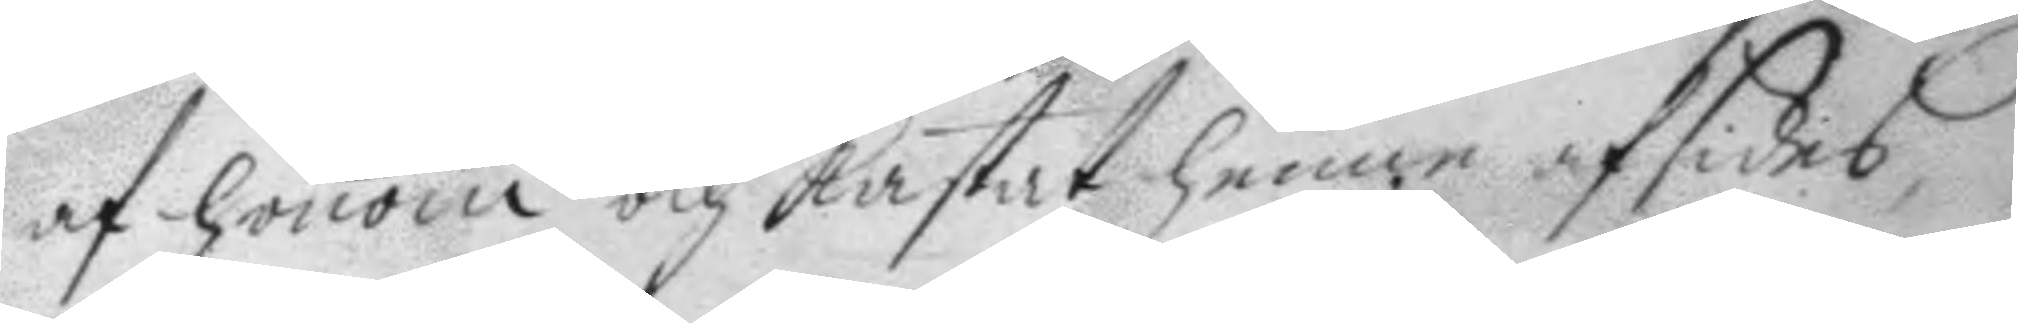af honom och kastat henne afsides,
